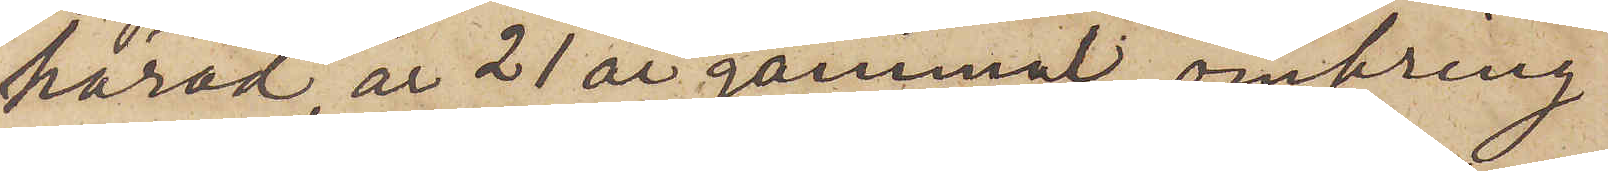härad, är 21 år gammal, omkring
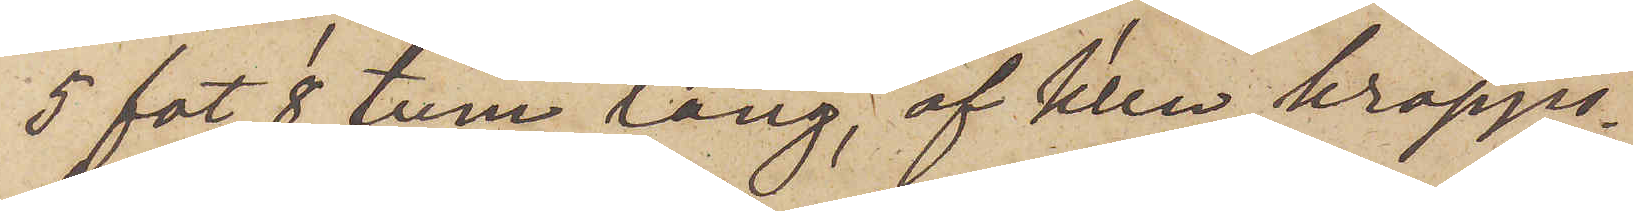5 fot 8 tum lång, af klen kropps¬
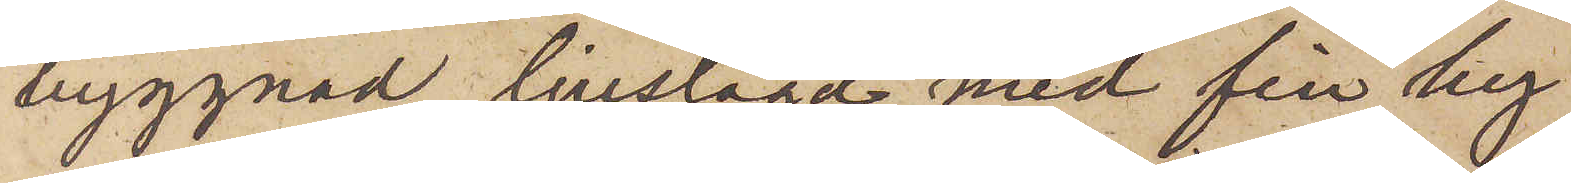byggnad, ljuslagd med fin hy,
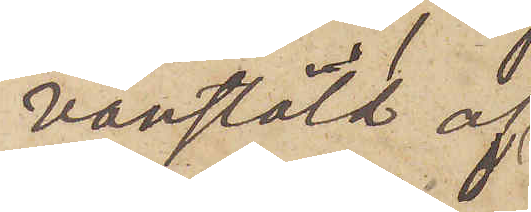vanstäld af
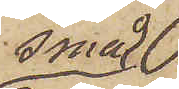små
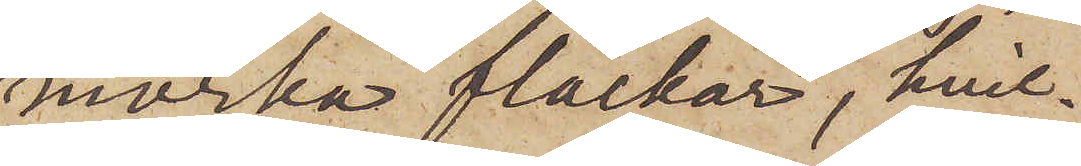mörka fläckar, hvil¬
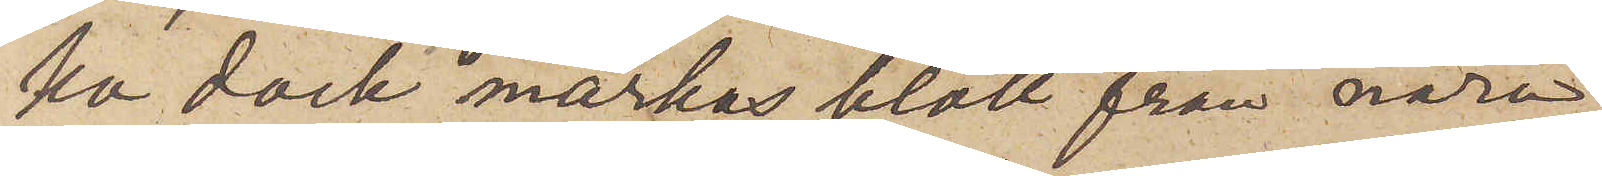ka dock märkas blott från nära
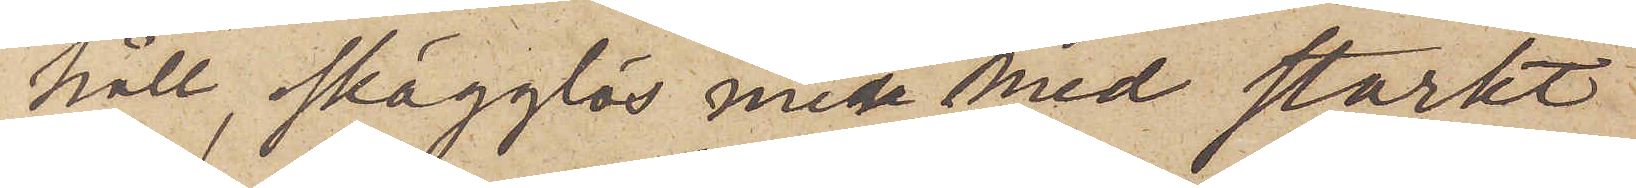håll, skägglös men med starkt
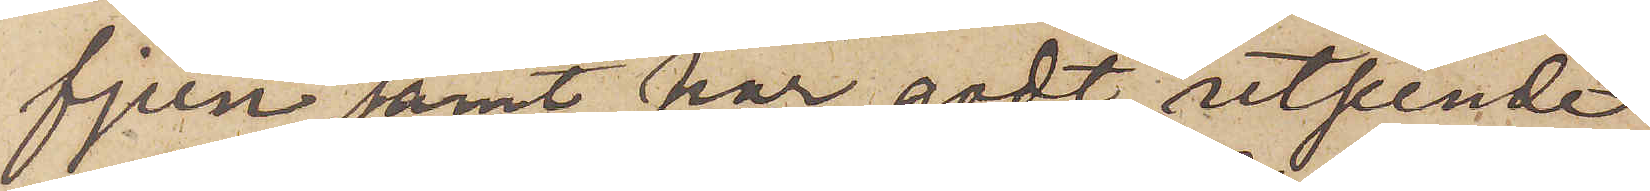fjun samt har godt utseende
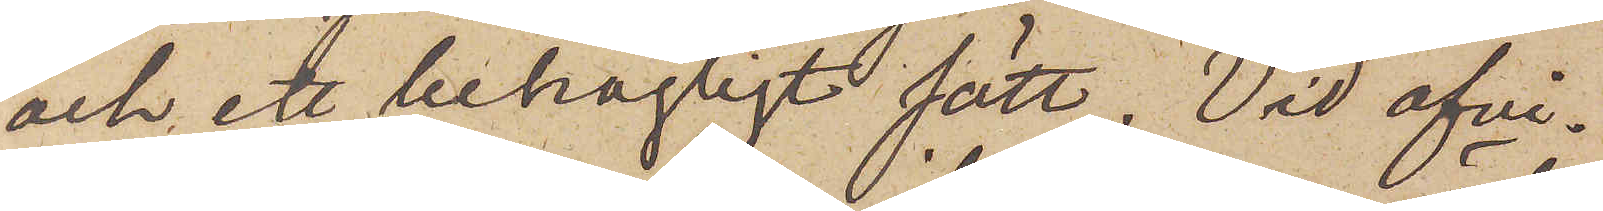och ett behagligt sätt. Vid afvi¬
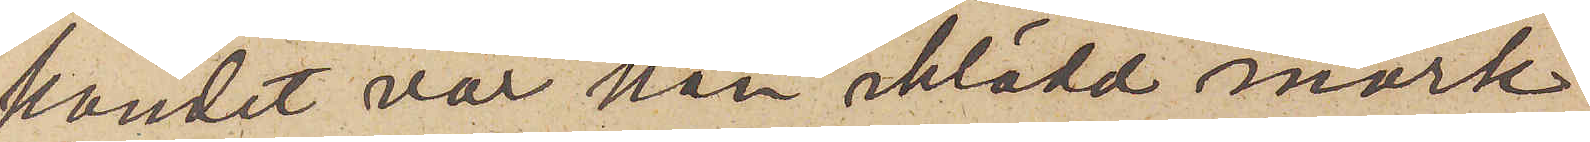kandet var han iklädd mörk
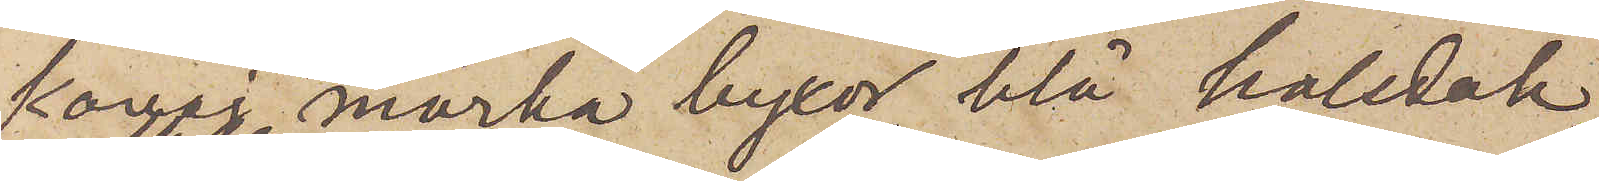kavaj, mörka byxor, blå halsduk
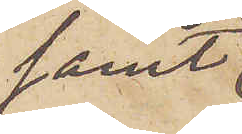samt
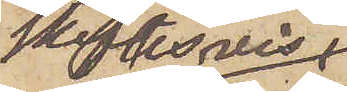skiftesvis
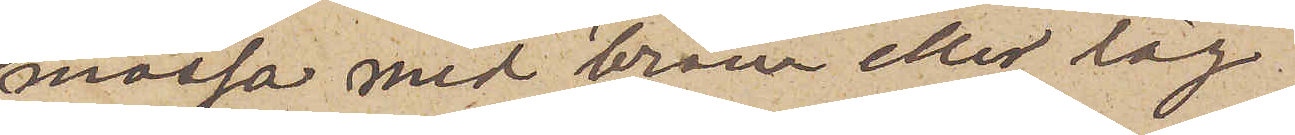mössa med bräm eller låg
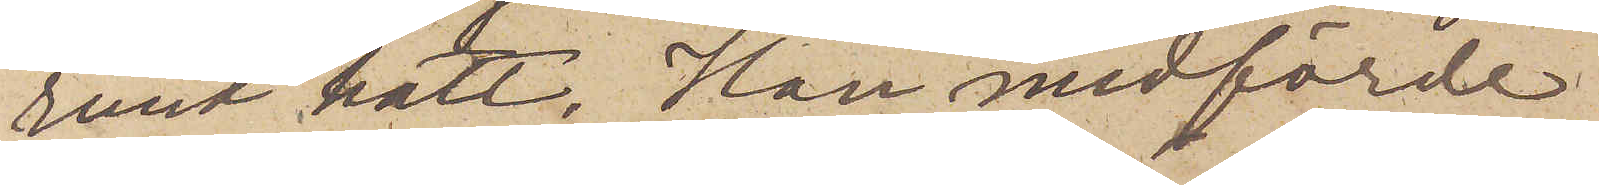rund hatt. Han medförde
